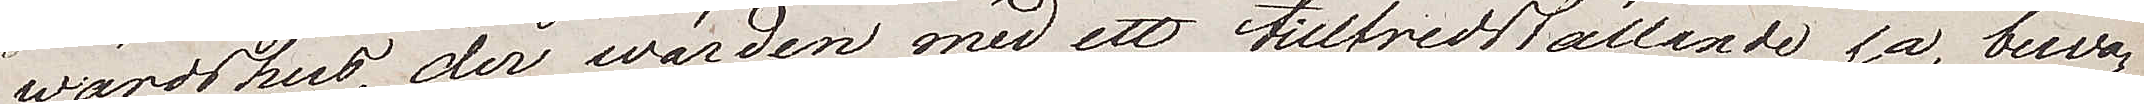wärdshus, der wärden med ett tillfredsställande ja besva¬
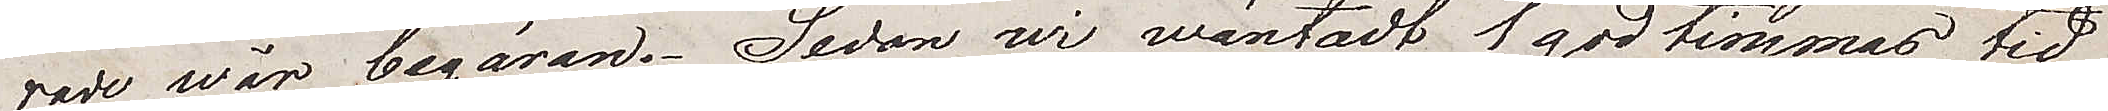sade wår begäran. Sedan wi wäntadt 1 god timmas tid
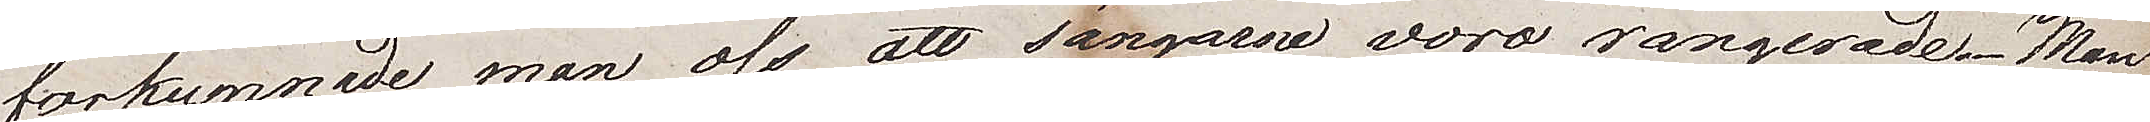förkunnade man oss att sängarne voro rangerade. Man
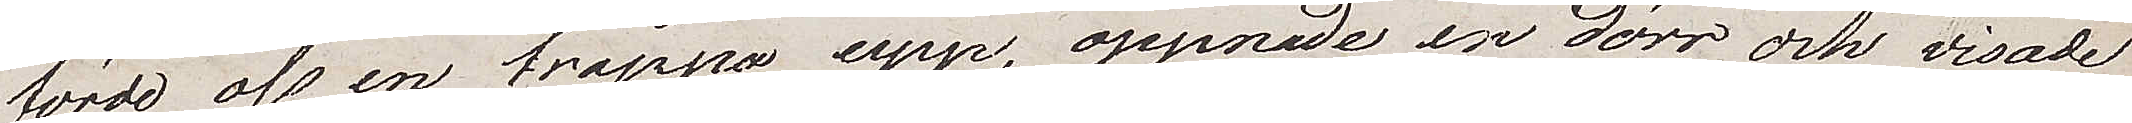förde oss en trappa upp, öppnade en dörr och visade
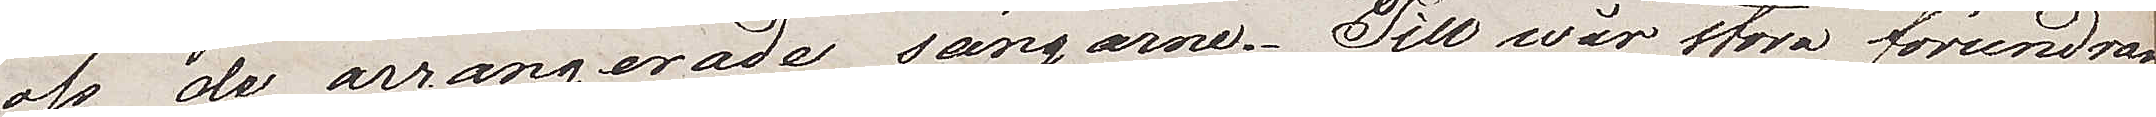oss de arrangerade sängarna. Till wår stora förundran
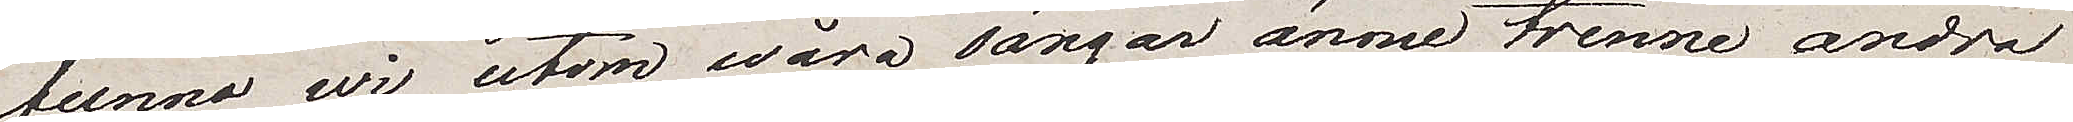funno wi utom wåra sängar ännu trenne andra
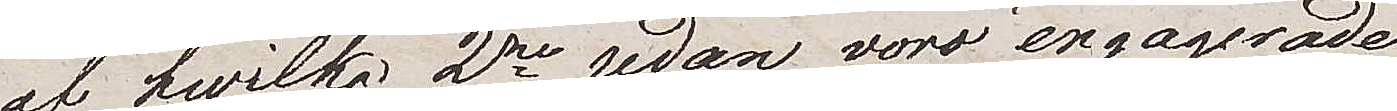af hwilka 2ne redan voro engagerade.
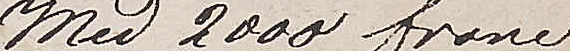Med 2000 franc
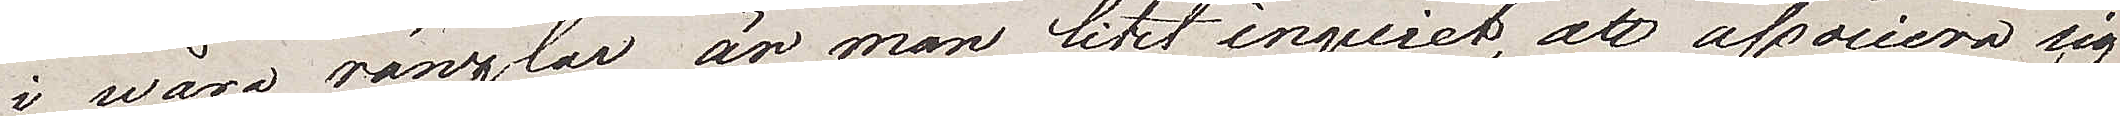i wåra ränslar är man litet inquiet, att associera sig
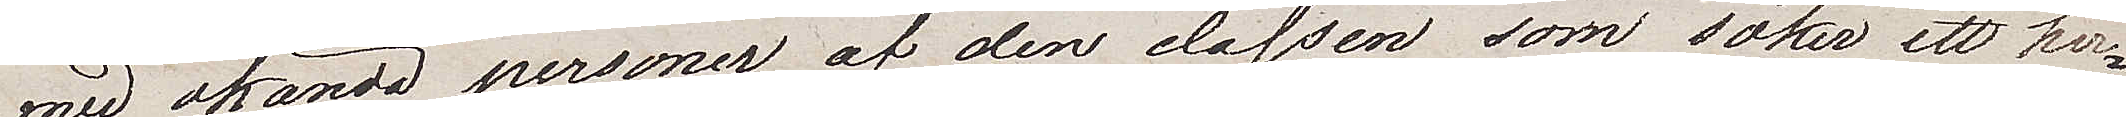med okända personer af den classen som söker ett her¬
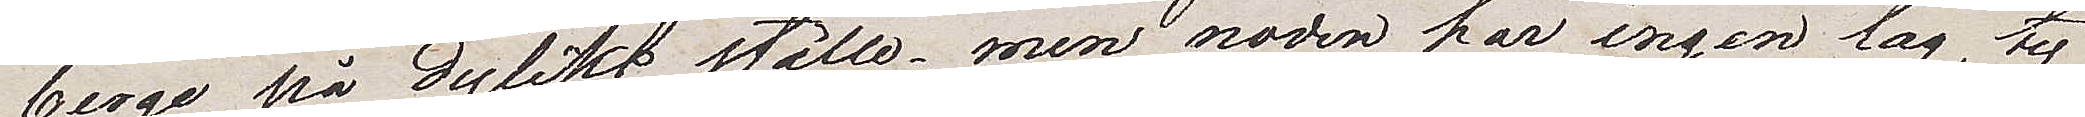berge på dylikt ställe, men nöden har ingen lag, ty
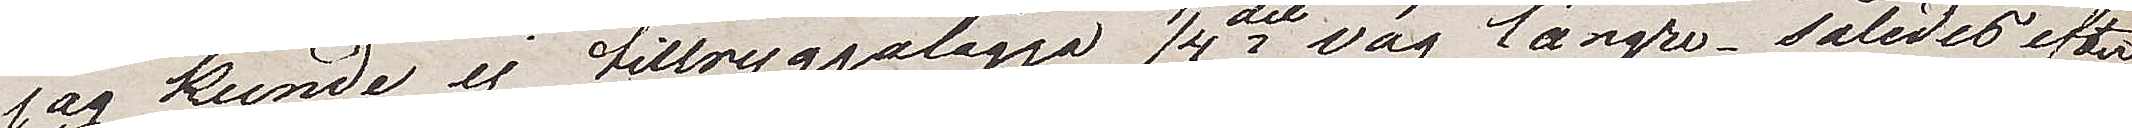jag kunde ej tillryggalägga 1/4del väg längre. Således efter
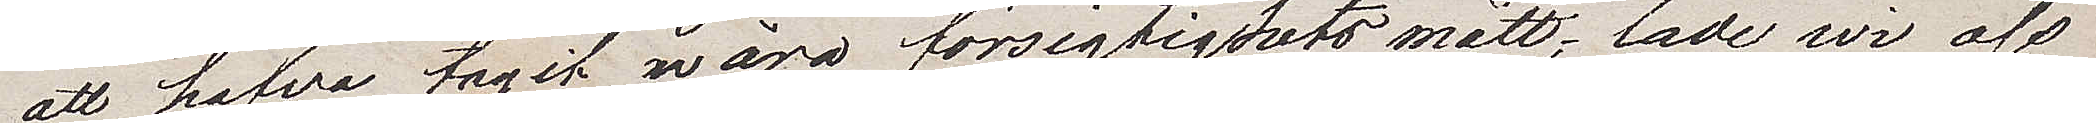att hafva tagit våra försiktighetsmått, lade wi oss
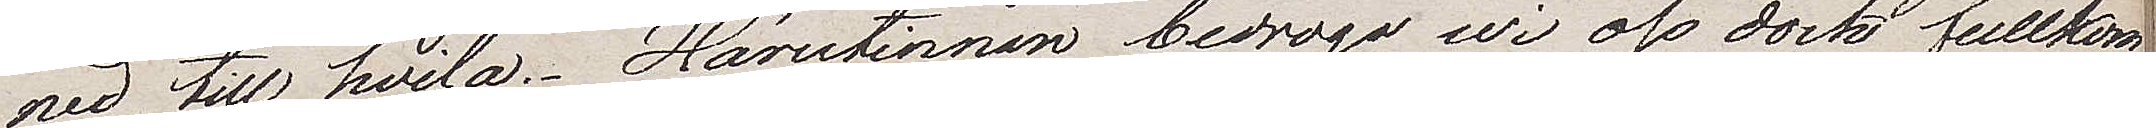ned till hvila. Härutinnan bedrogo wi oss dock fullkom¬
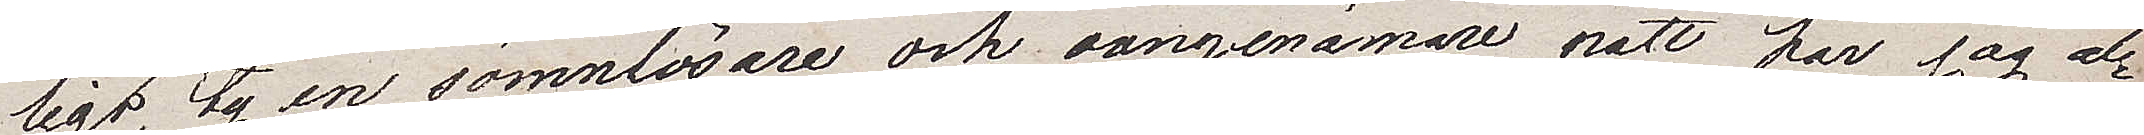ligt, ty en sömnlösare och oangenämare natt har jag al¬
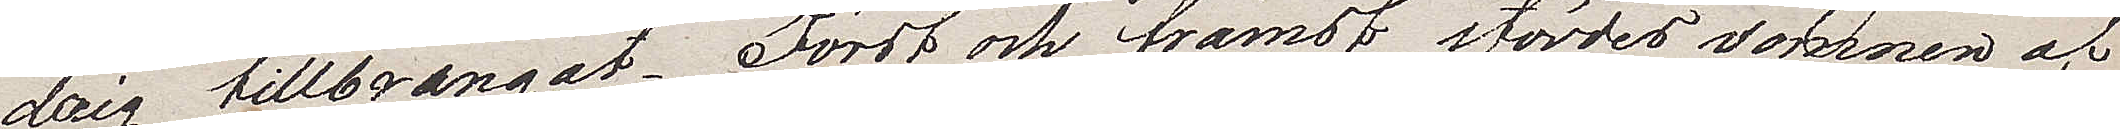drig tillbringat. Först och främst stördes sömnen af
